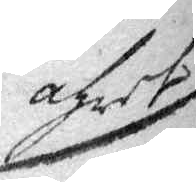åhret
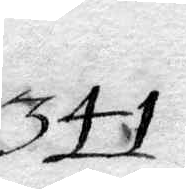341.
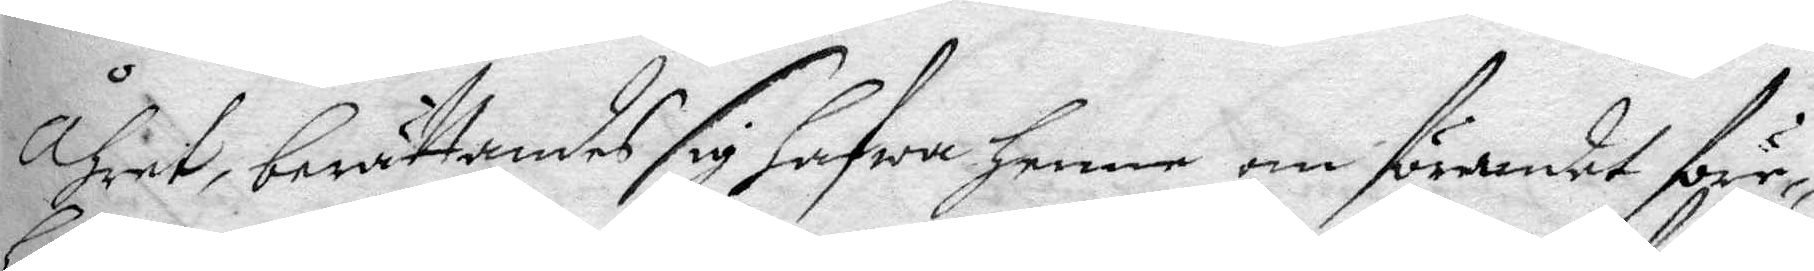åhret, berättandes sig hafwa henne om förandet före¬
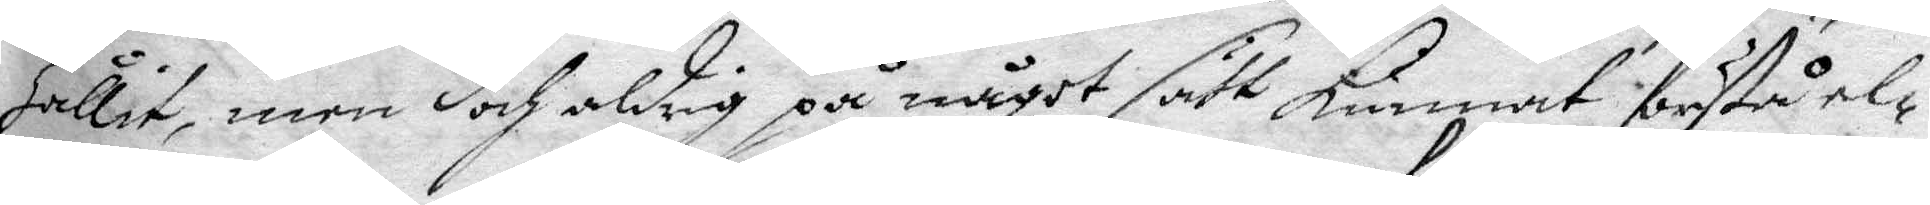hållit, men doch aldrig på något sätt kunnat förstå el¬
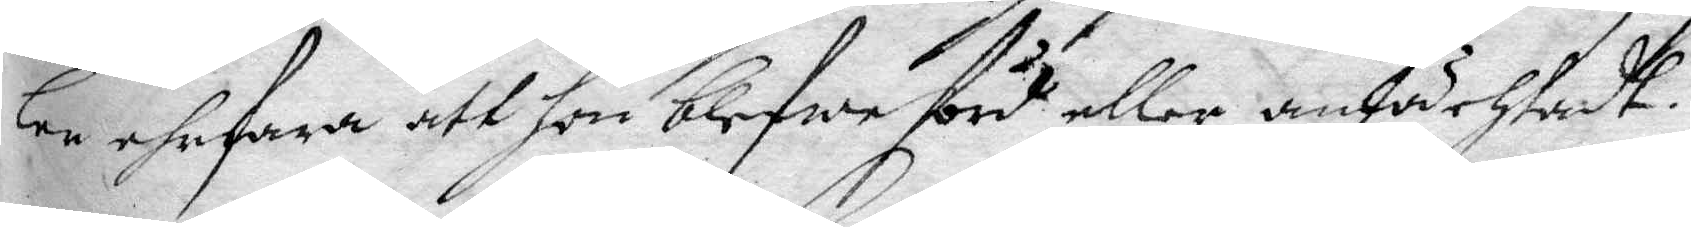ler ehrfara att hon blefwe förd eller anfächtadt.
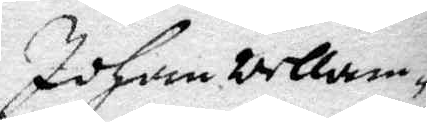Johan Wellam¬
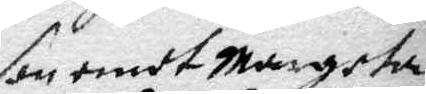son emot Margeta
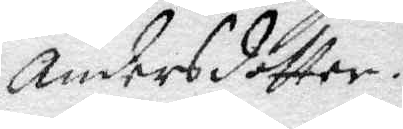Andersdotter.
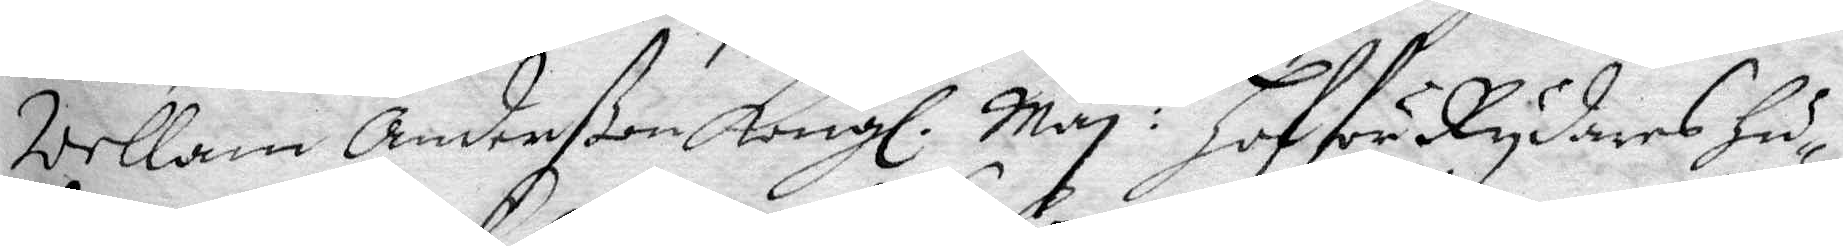Wellam Anderßon Kongl. May:tz hofförRydares hu¬
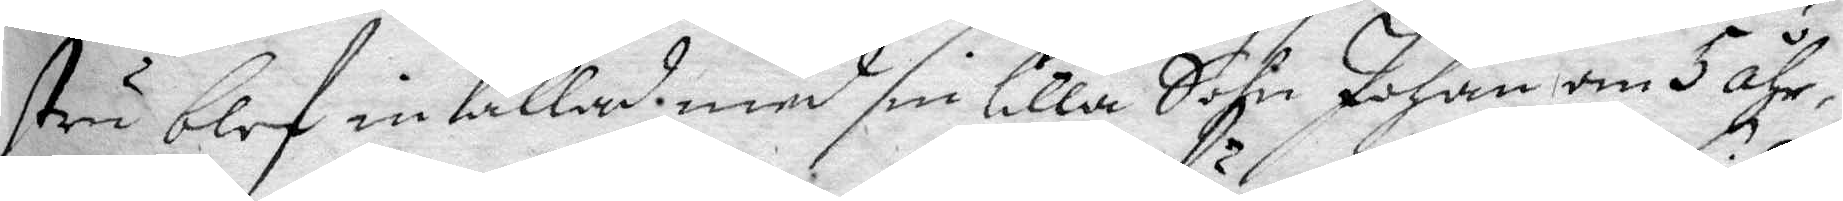stru blef inkallad med sin lilla Sohn Johan om 5 åhr,
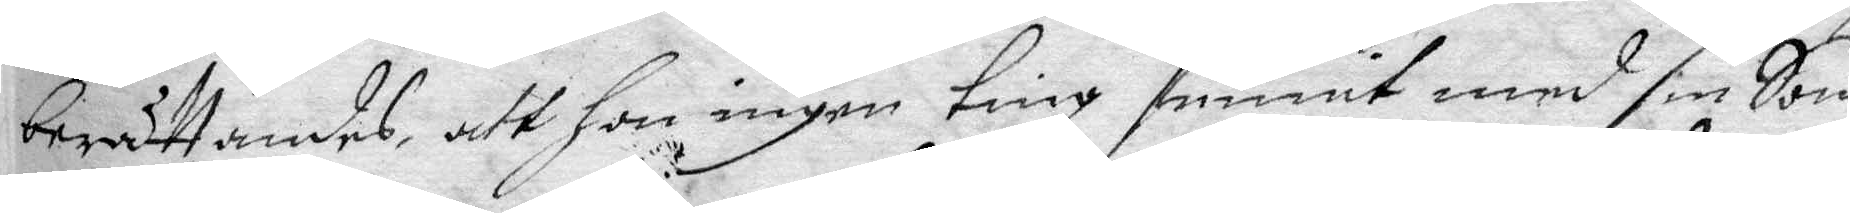berättandes, att hon ingen ting funnit med sin Son,
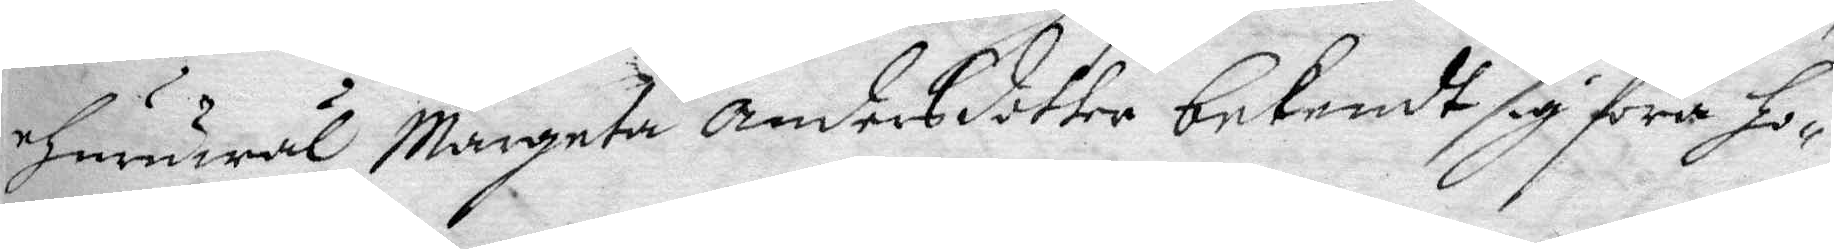ehuruwäl Margeta Andersdotter bekendt sig föra ho¬
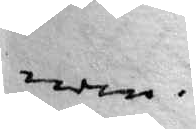nom.
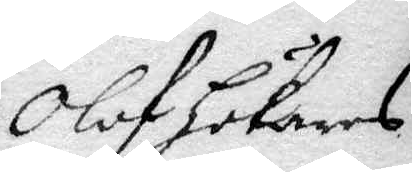Olof Hökares
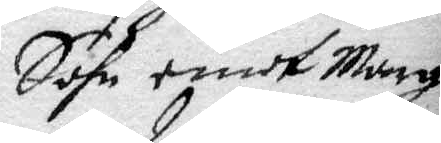Sohn emot Marg.
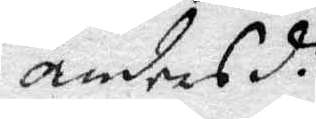Andersd.r
